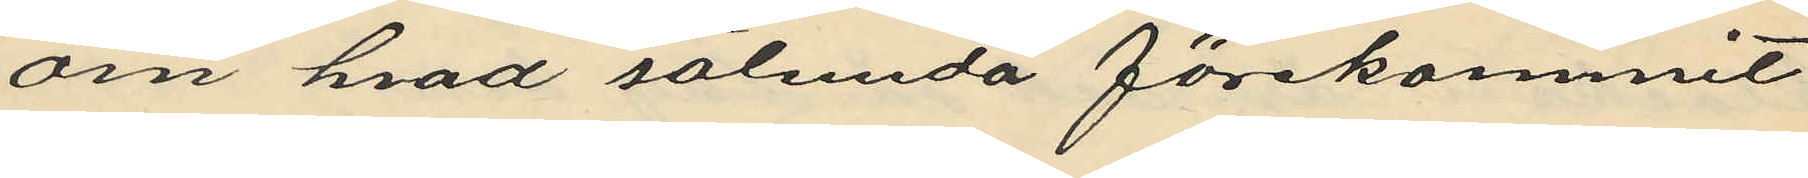om hvad sålunda förekommit
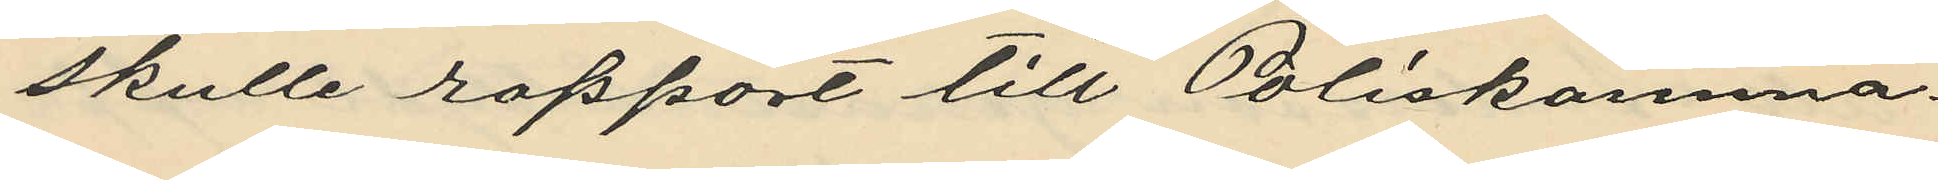skulle rapport till Poliskamma¬
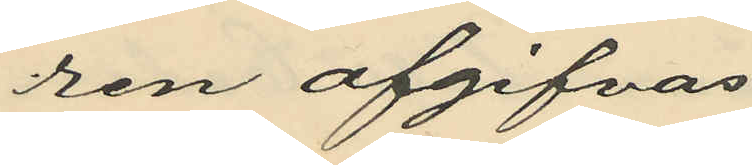ren afgifvas.
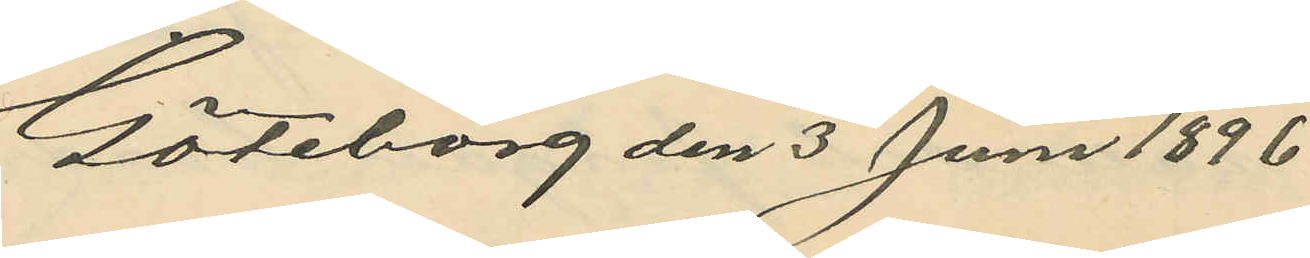Göteborg den 3 Juni 1896
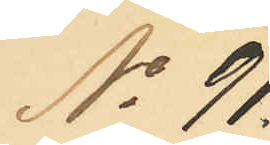No 91.
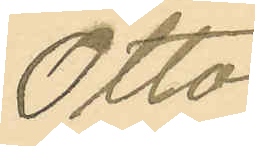Otto
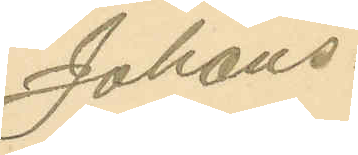Johans¬
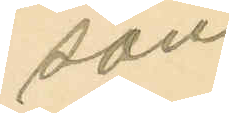son
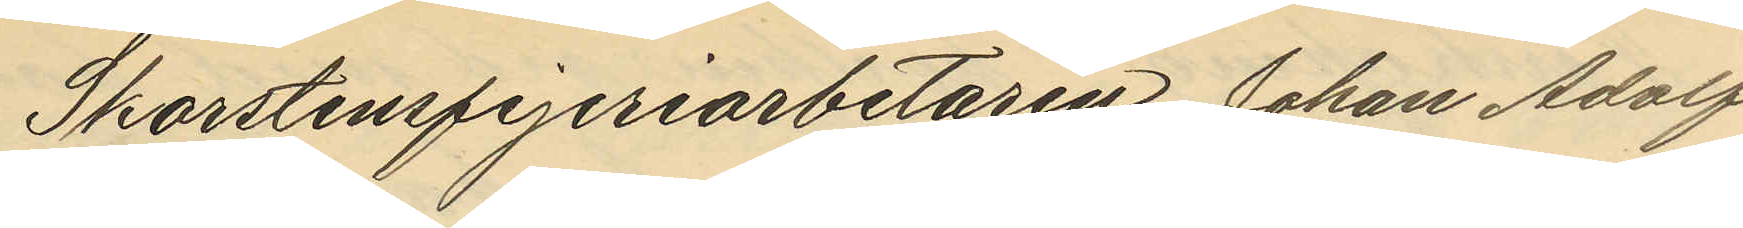Skorstensfejeriarbetaren Johan Adolf
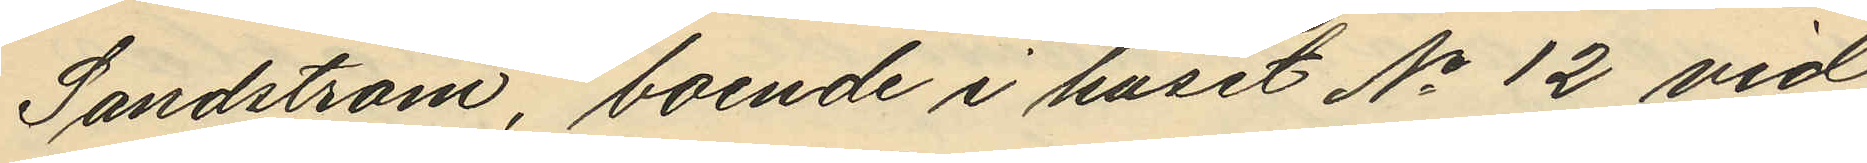Sandström, boende i huset No 12 vid
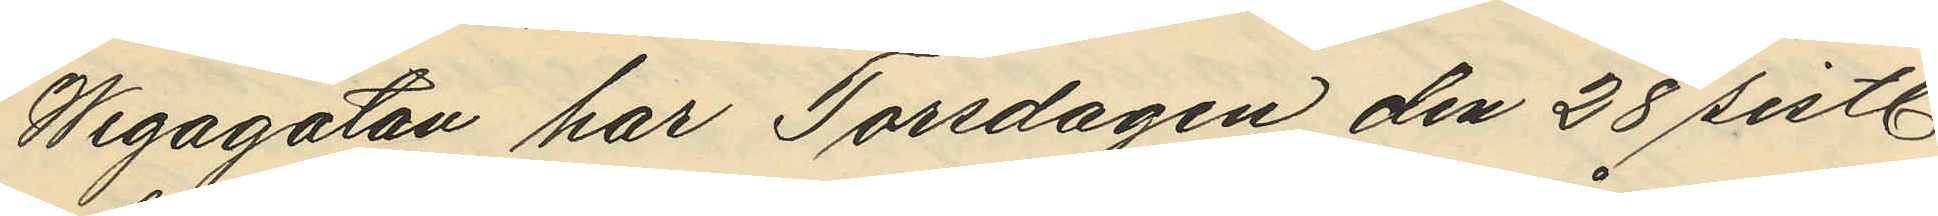Wegagatan har Torsdagen den 28 sistl.
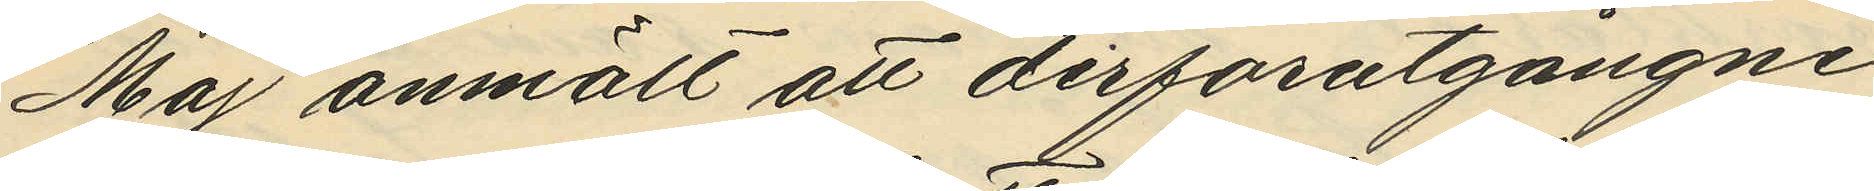Maj anmält att derförutgångne
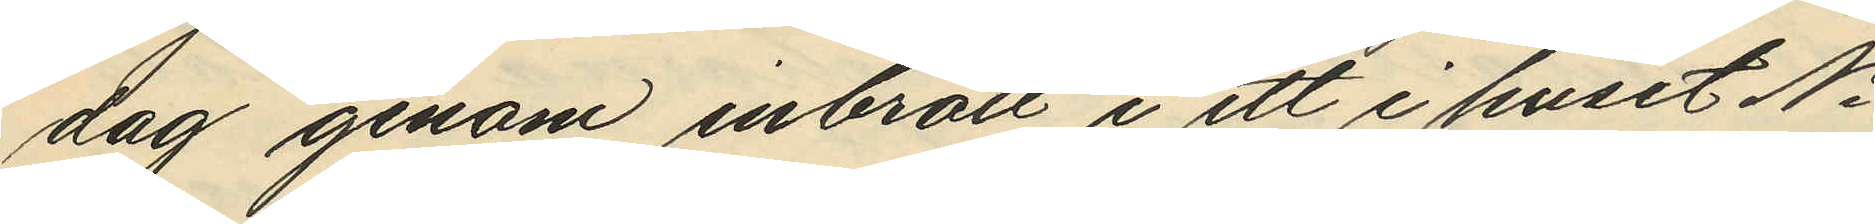dag genom inbrott i ett i huset No
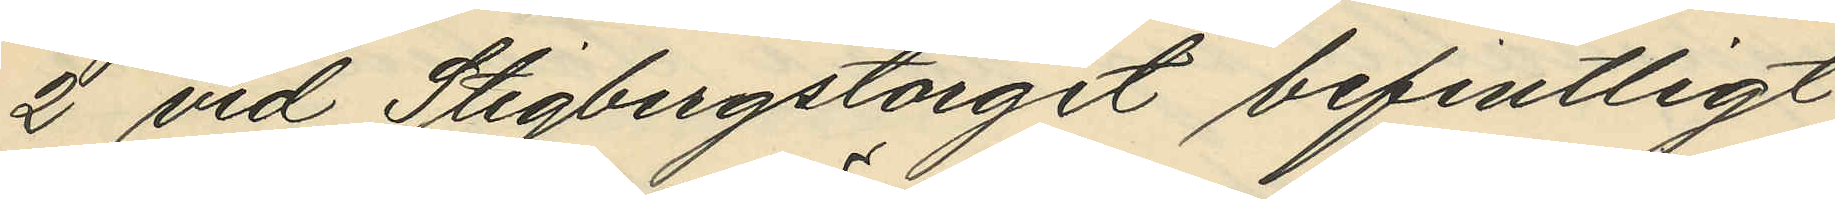2 vid Stigbergstorget befintligt
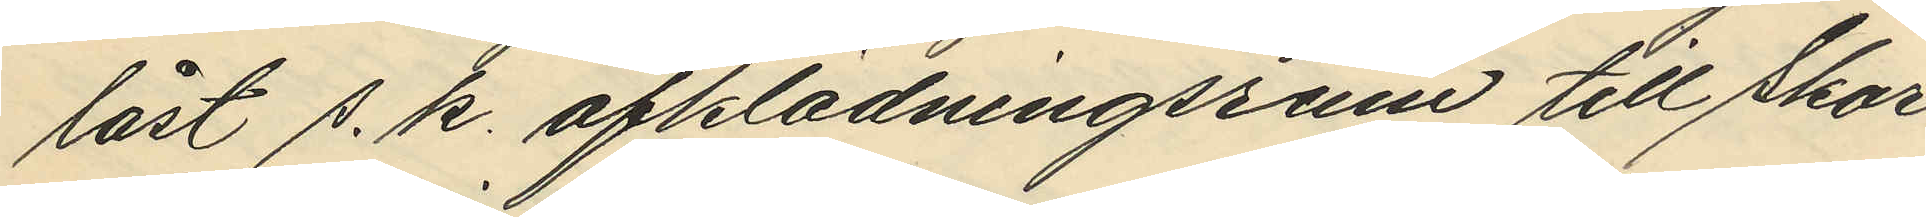låst s. k. afklädningsrum till Skor¬
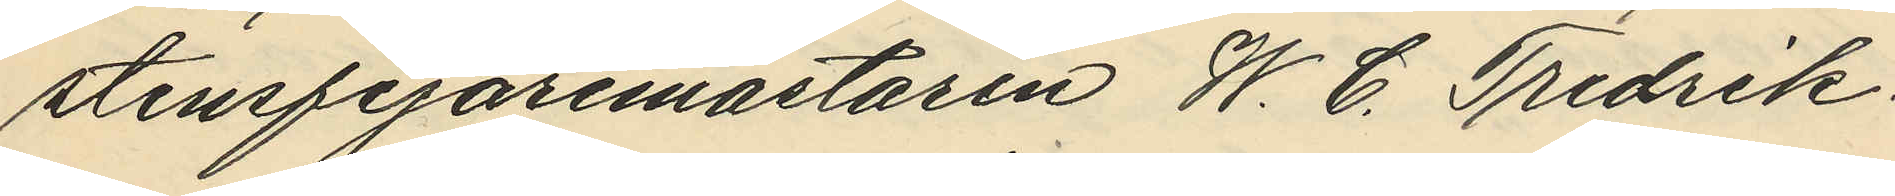stensfejaremästaren W. C. Fredrik¬
